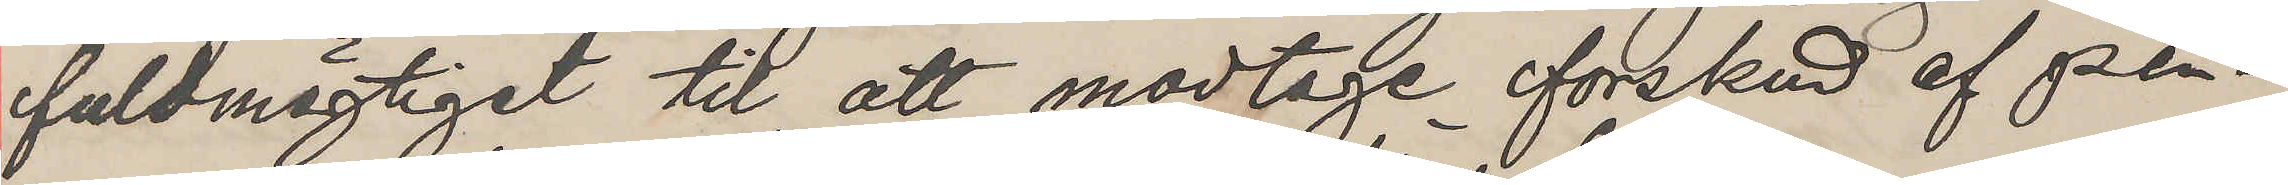fuldmägtigst til att modtage forskud af pen¬
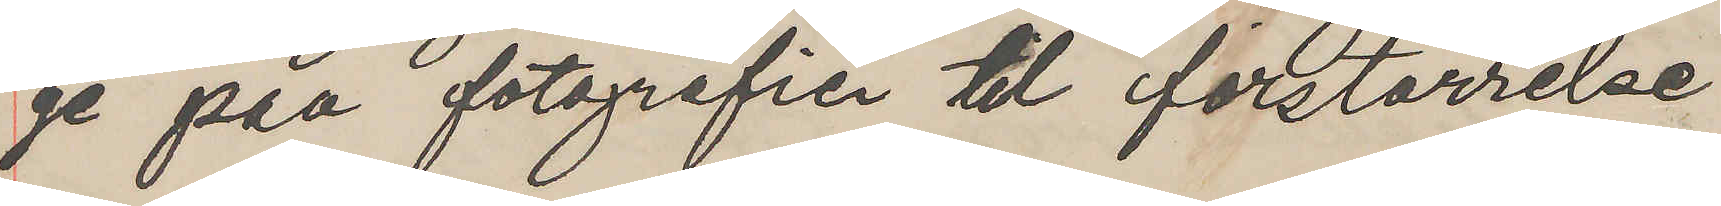ge paa fotografier til forstörrelse
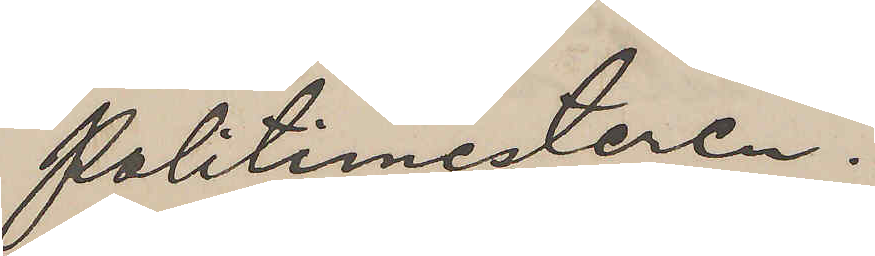Politimesteren.
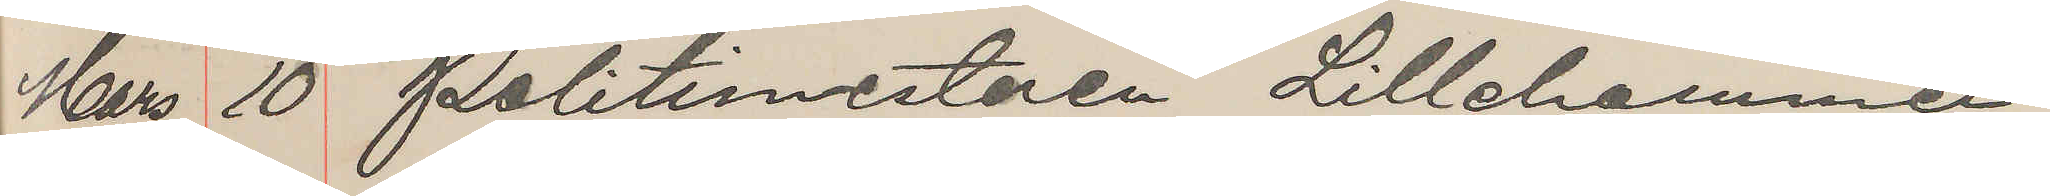Mars 10 Politimesteren Lillehammer
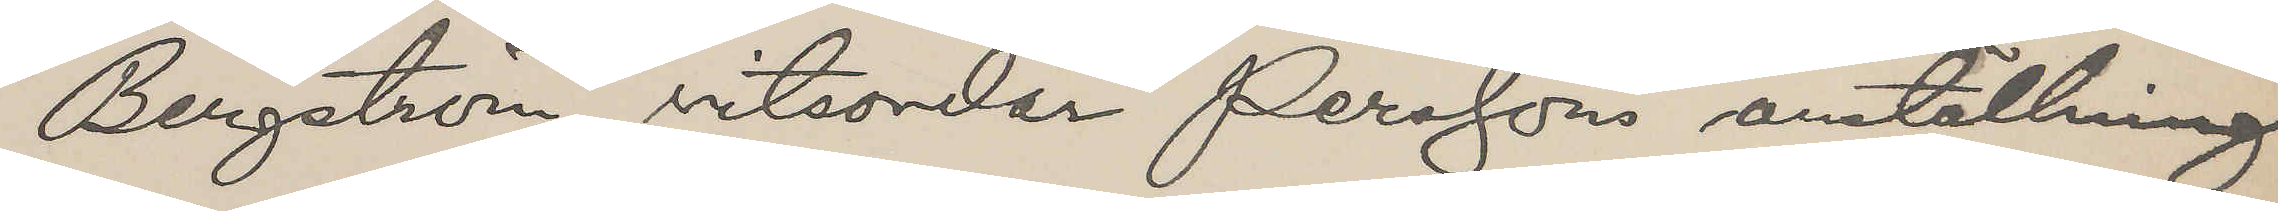Bergström vitsordar Persson anställning
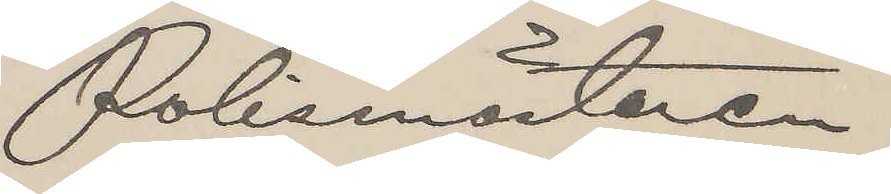Polismästaren.
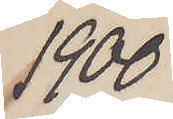1900
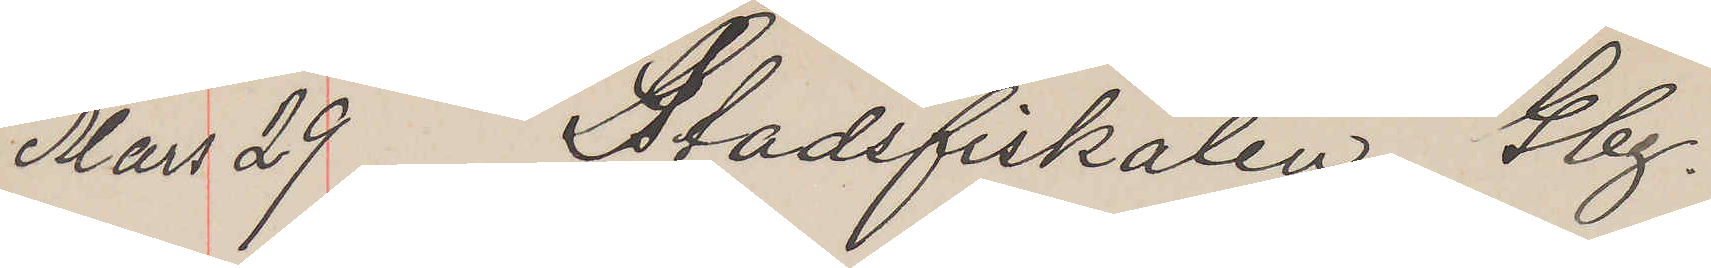Mars 29 Stadsfiskalen Gbg.
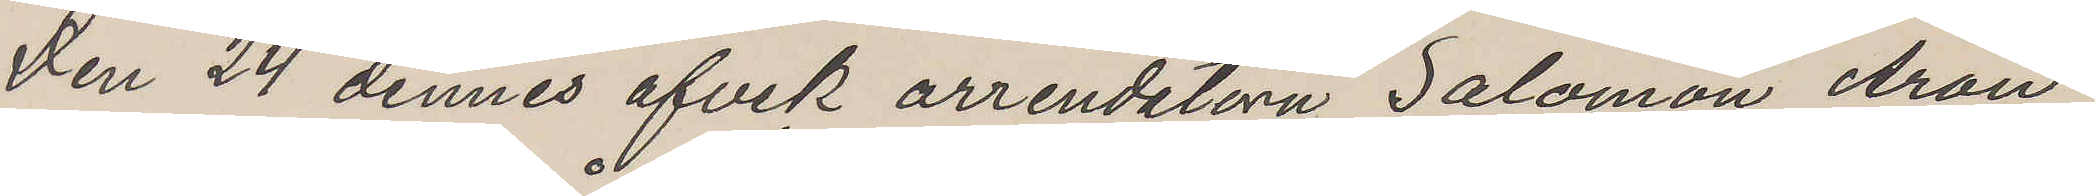Den 24 dennes afvek arrendatorn Salomon Aron
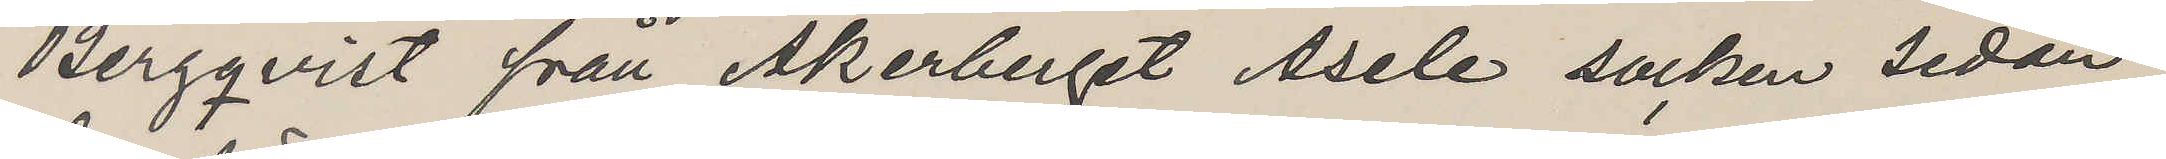Bergqvist från Åkerberget Åsele socken sedan
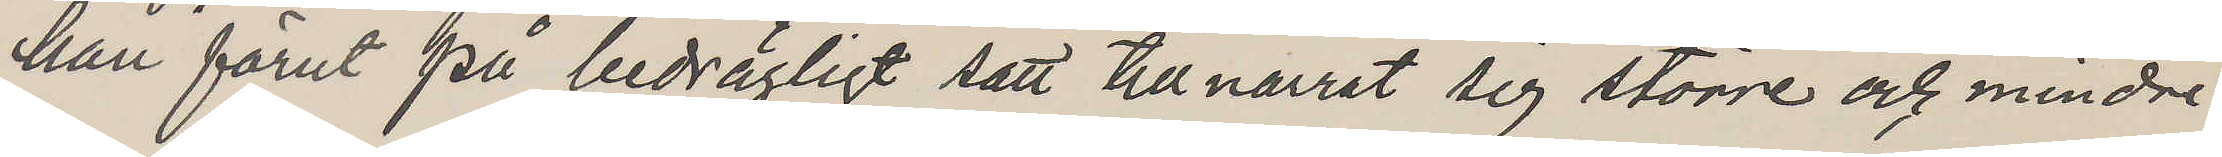han förut på bedrägligt sätt tillnarrat sig större och mindre
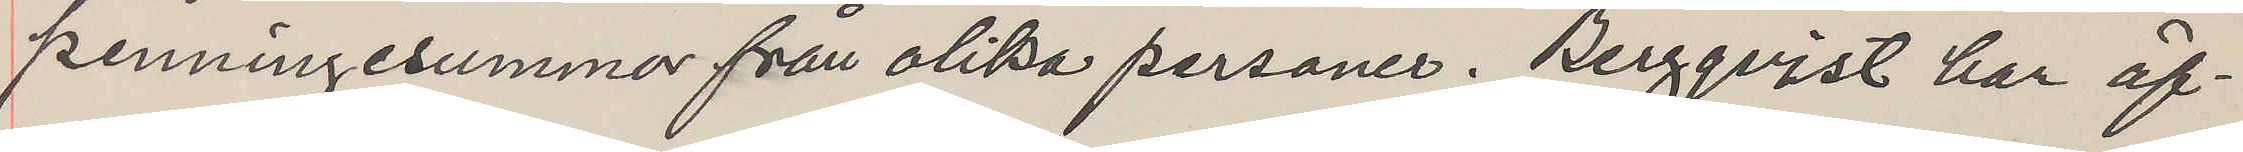penningesummor från olika personer. Bergqvist har äf¬
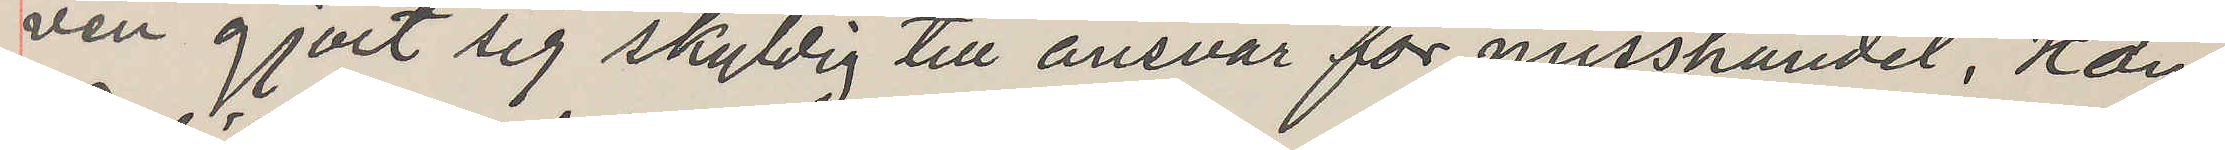ven gjort sig skyldig till ansvar för misshandel. Han
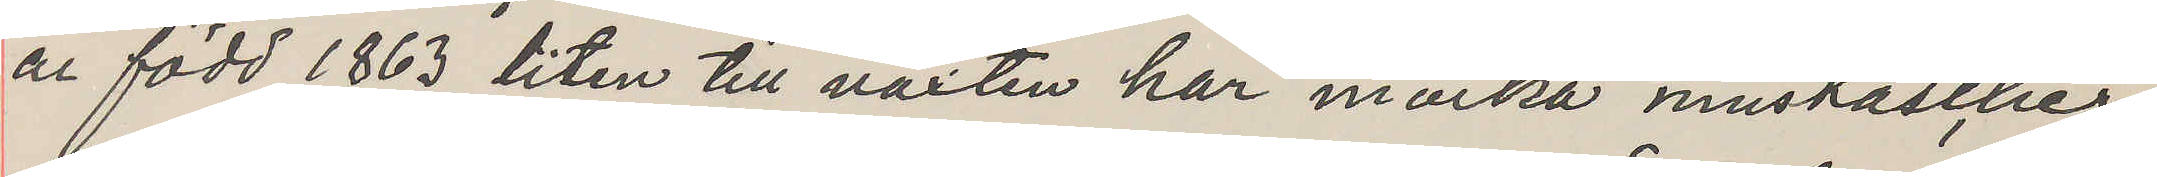är född 1863 liten till växten har mörka mustascher
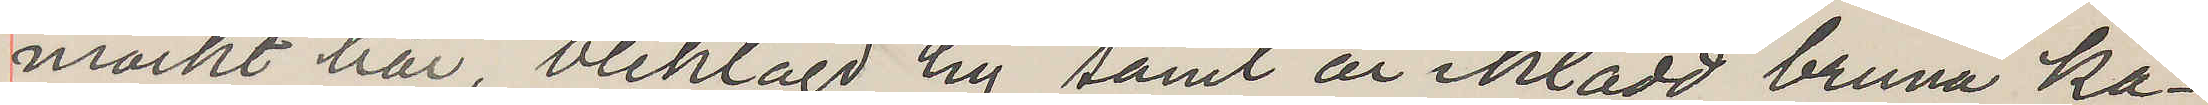mörkt hår, bleklagd hy samt är iklädd bruna ka¬
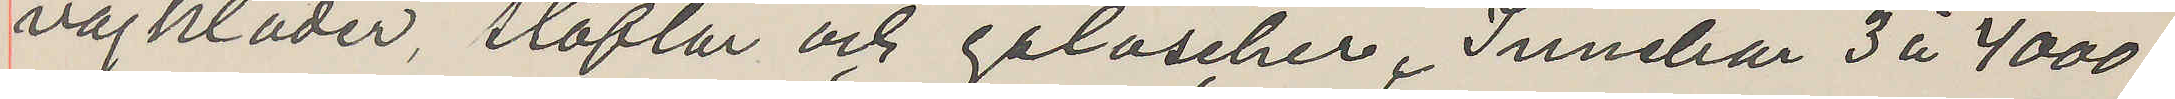vajkläder, stöflar och galoscher. Innehar 3 à 4000
